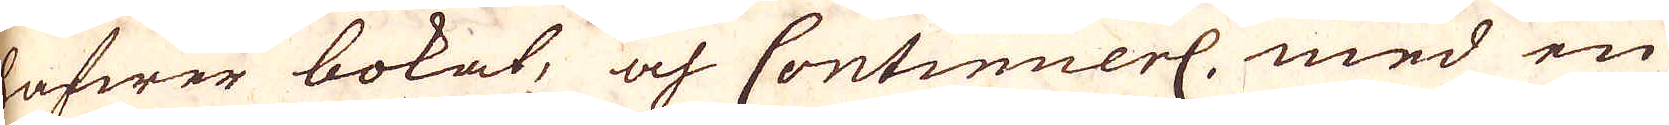hafwer bokat, och Continuerl. med en
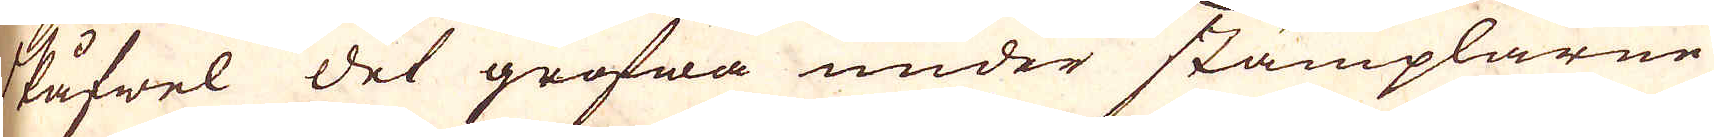skåfwel det grofwa under stämplarne
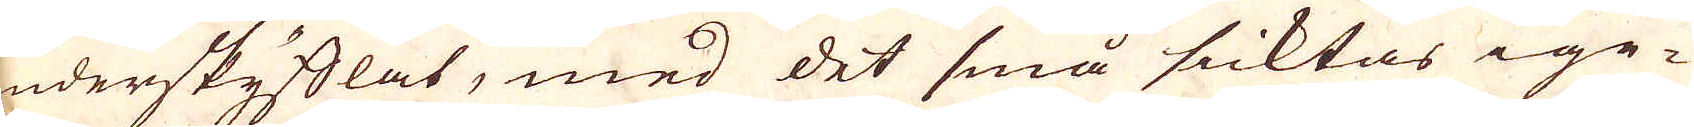underskyfflat, med det små sicktas ige-
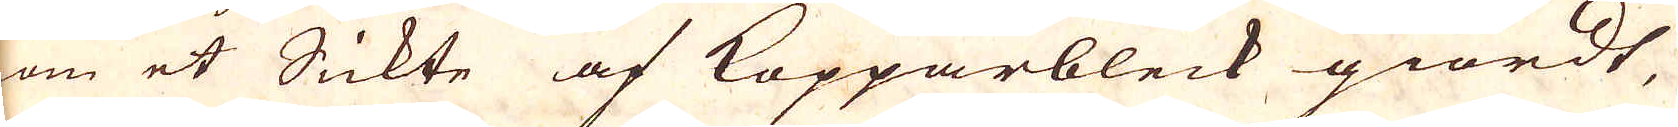nom et Sickte af Kopparbleck giordt,
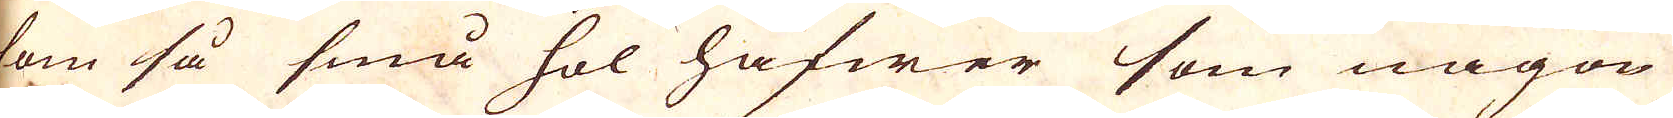som så små hol hafwer som någon
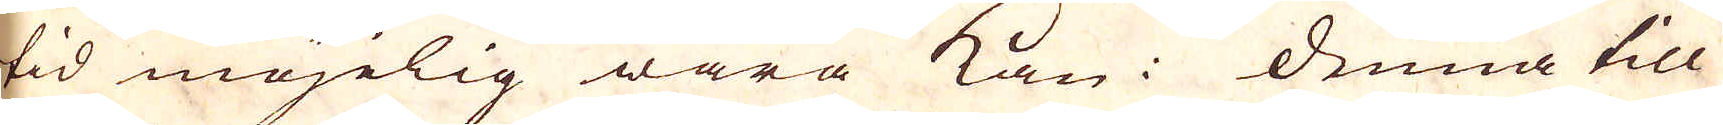tid möjelig wara kan. Denna till
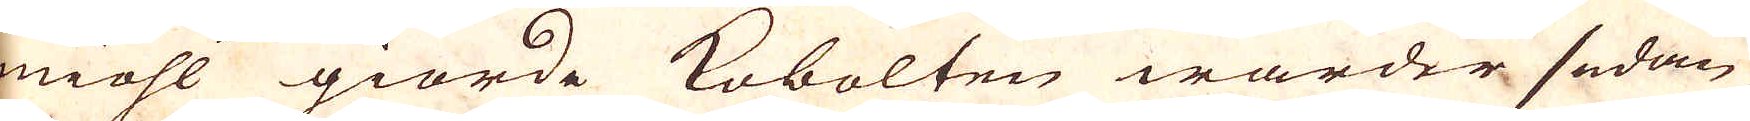miöhl giorde Kobolten warder sedan
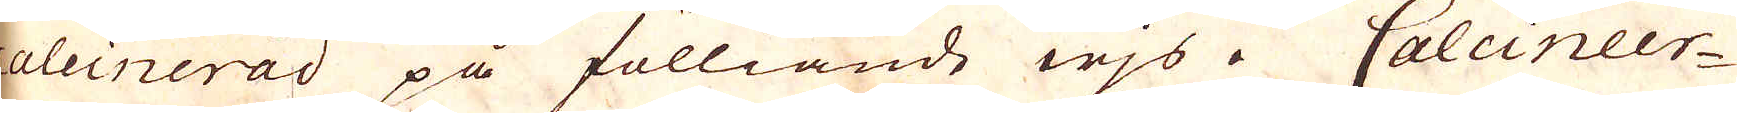caleinerad på fölliande wjs i Calcineer-
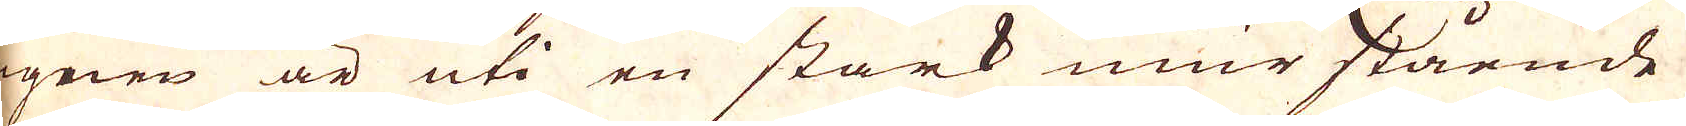ugnen är uti en stark mur stående
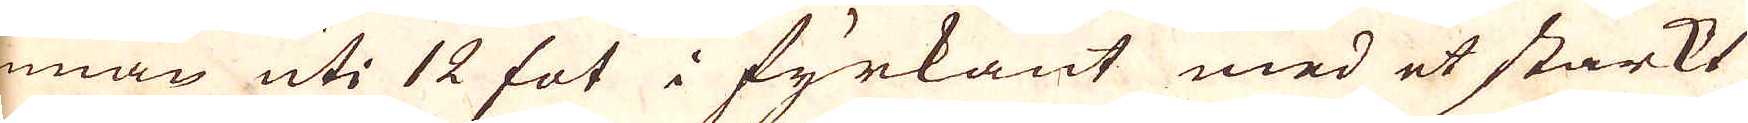innan uti 12 fot i fyrkant med et starkt
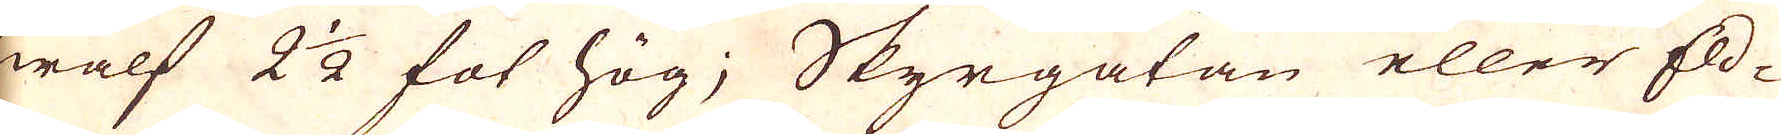hwalf 2 1/2 fot hög; Skyrgatan eller Eld-
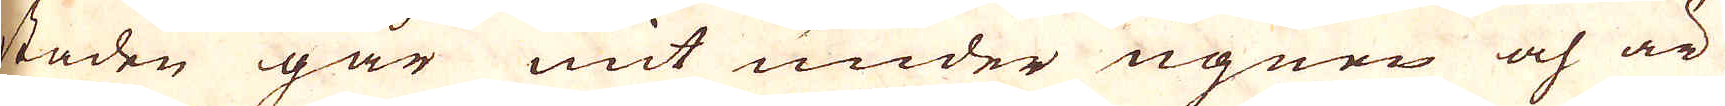staden går mit under ugnen och är
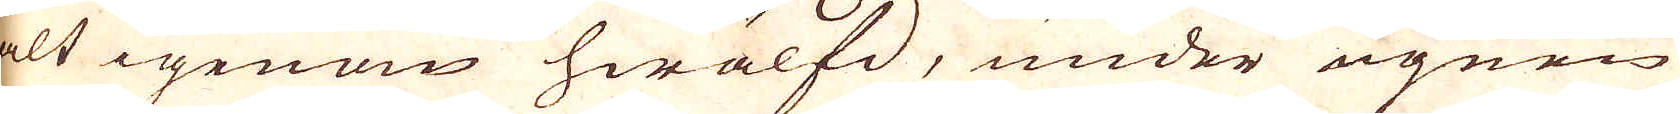alt igenom hwälfd, under ugnen
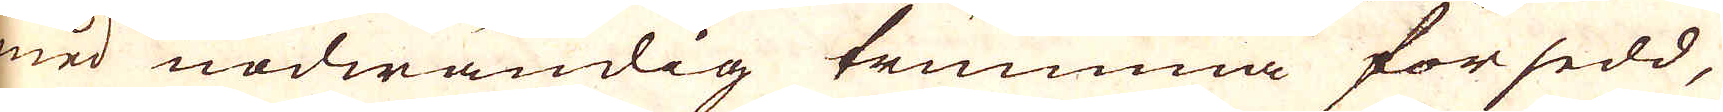med nödwändlig trumma försedd,
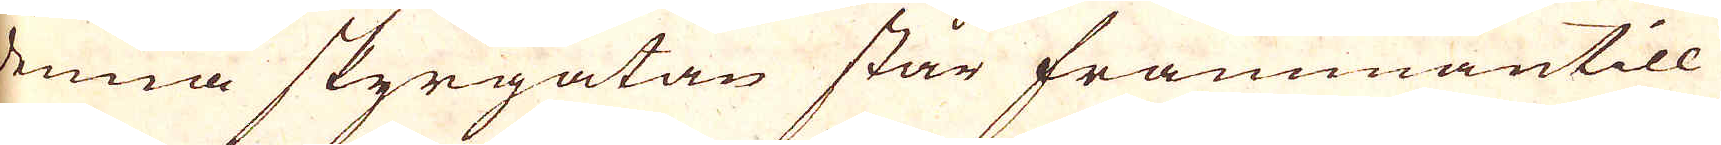denna styrgatan står frammantill
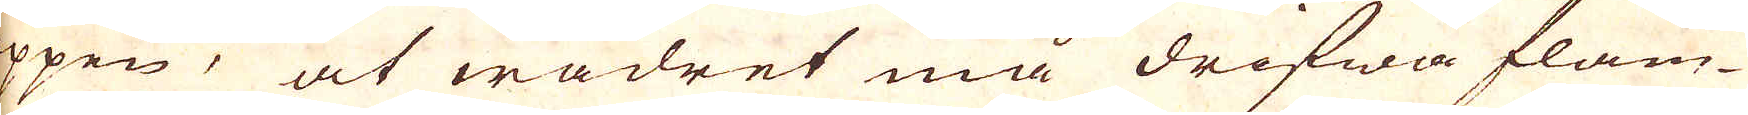öppen, at wädret må drifwa flam-
